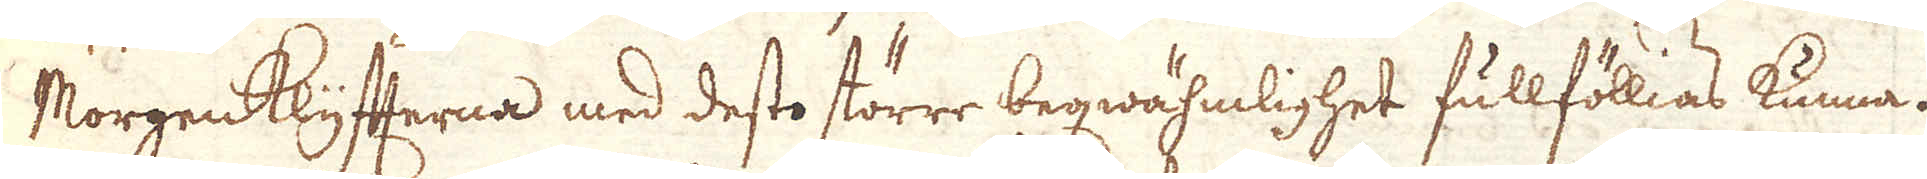Morgenklyfterna med desto större beqwähmlighet fullföllias kunna.
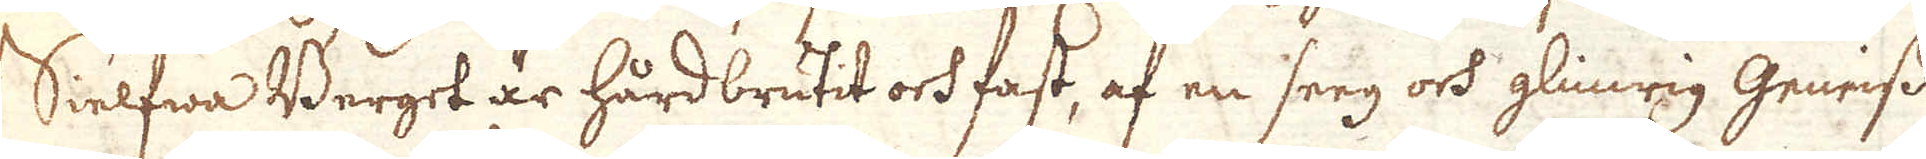Sielfwa Berget är hårdbrutit och fast, af en seeg och glimrig Gneiess
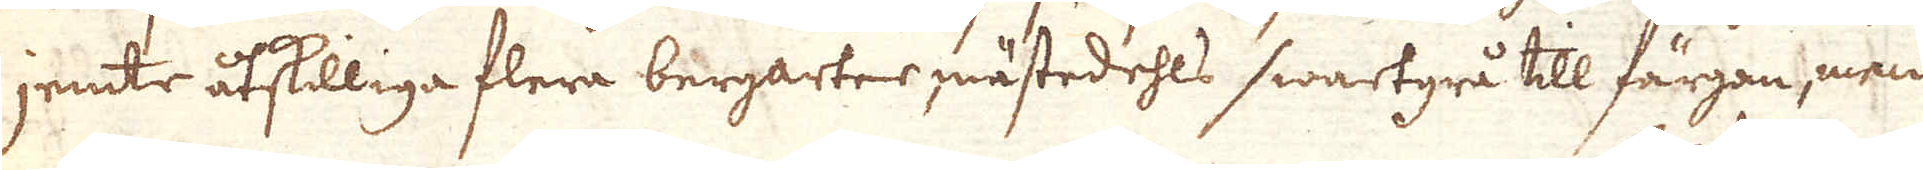jemte åtskilliga flera bergarter, mästedehls swartgrå till färgan, men
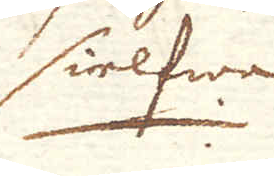sielfwa
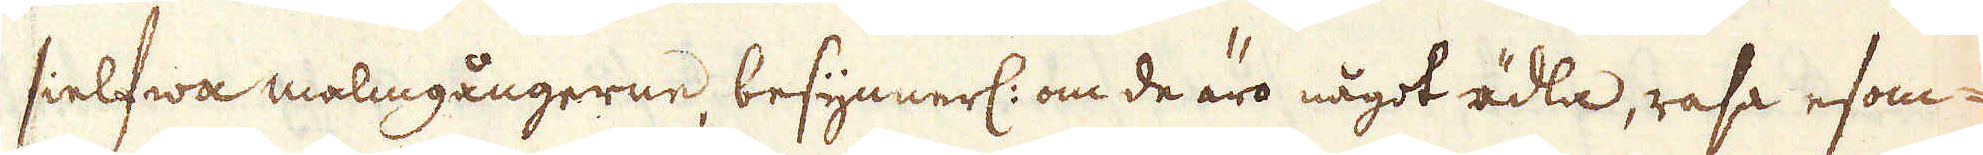sielfwa malmgångerne, besynnerl: om de äro något ädla, rasa esom-
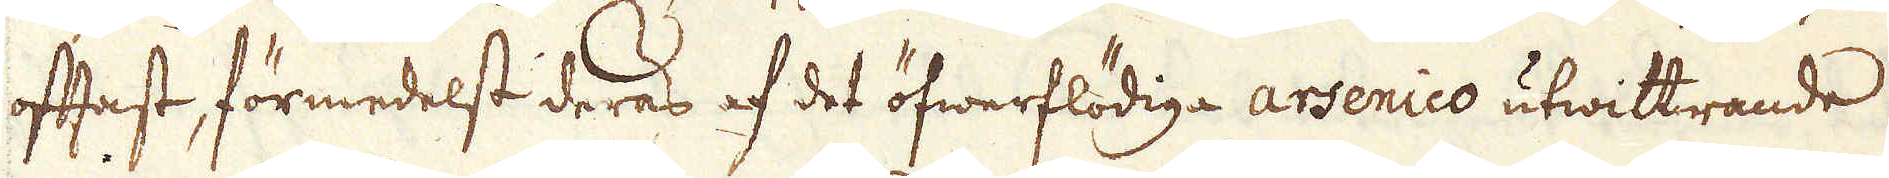oftast, förmedelst deras af det öfwerflödiga arsenico utwittrande
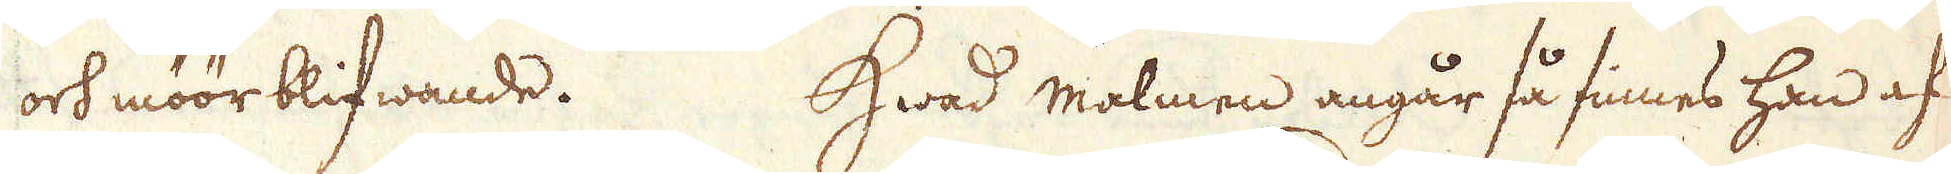och möör blifwande. Hwad malmen angår så finnes han af
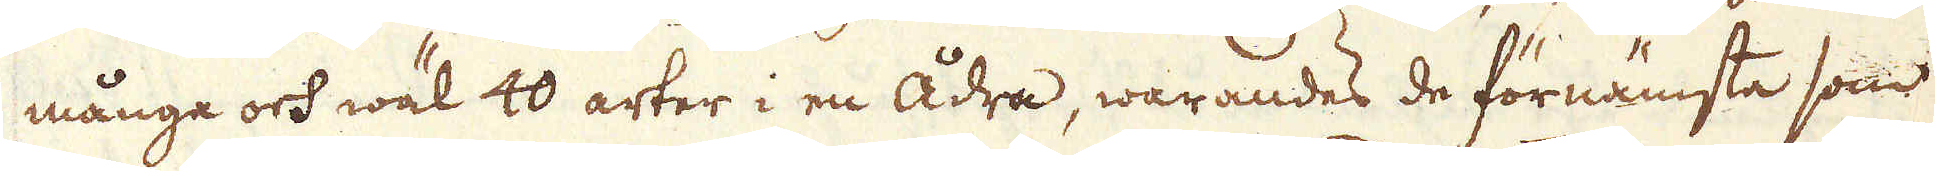många och wäl 40 arter i en ådra, warandes de förnämsta som
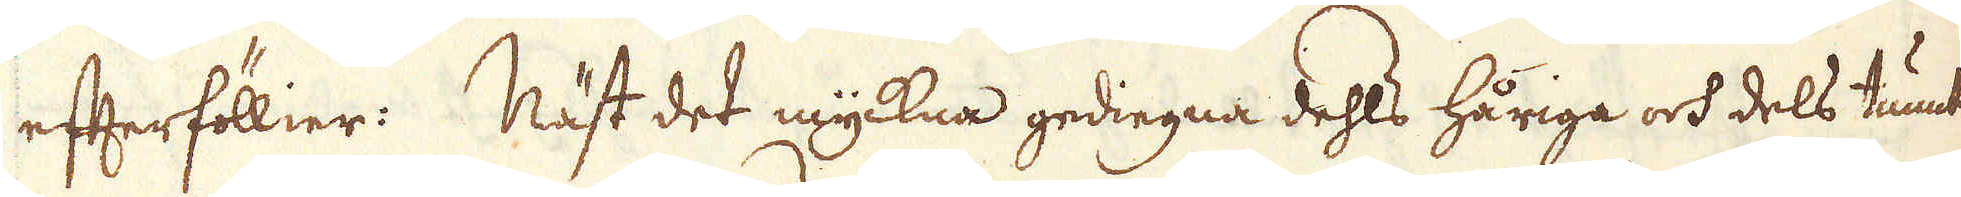efterföllier: Näst det myckna gediegna dehls håriga och dels tunt-
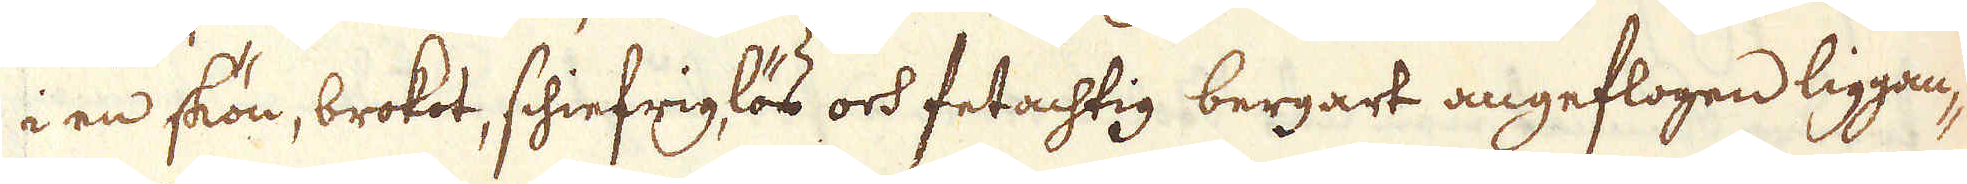i en skön, brokot, schiefriglös och fetachtig bergart angeflogen liggan-
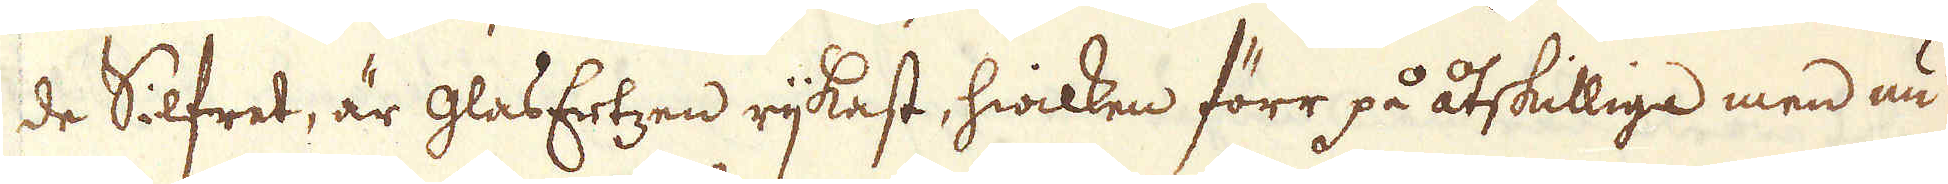de Silfret, är glasErtzen rijkast, hwilken förr på åtskilliga men nu
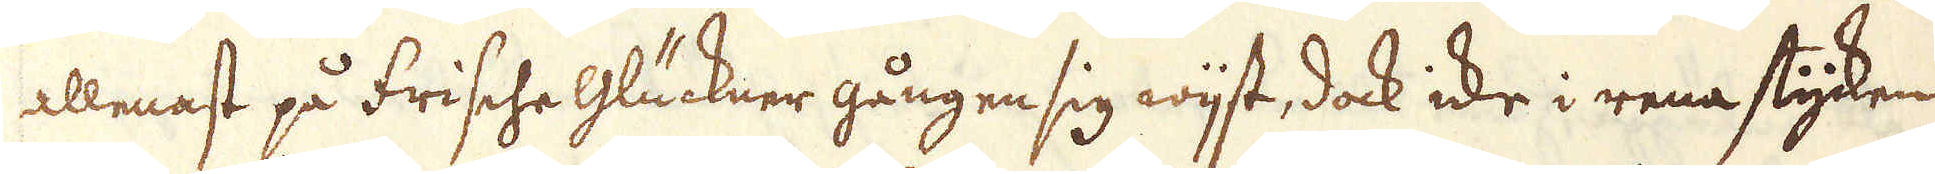allenast på frische Glückner gången sig wijst, dock icke i rena stycken
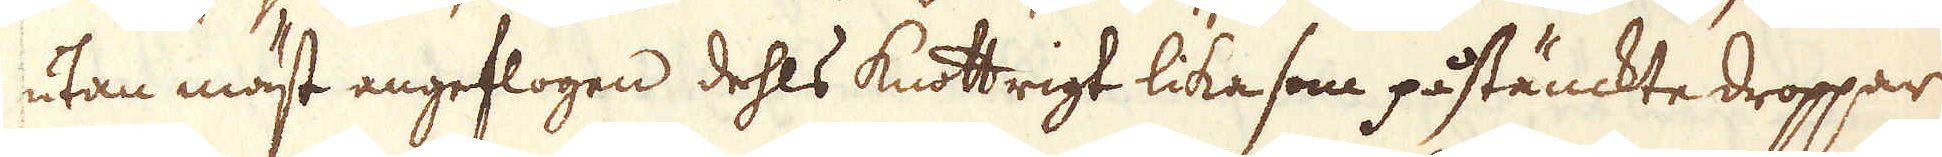utan mäst angeflogen dehls knottrigt lika som påstänckte droppar
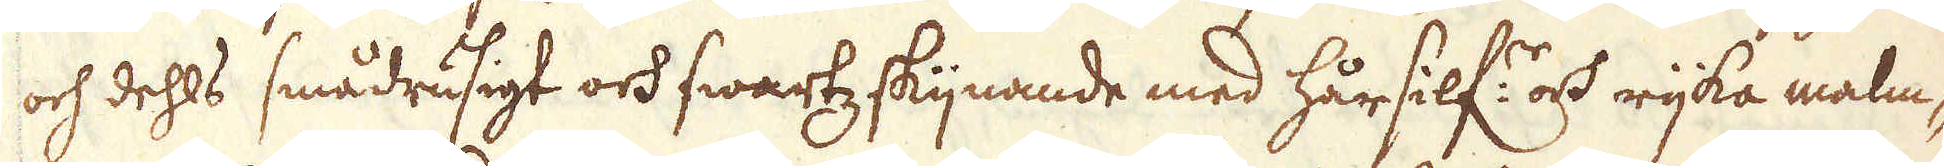och dehls smådrusigt och swartz skijnande med hårsilf:r och rijka malm-
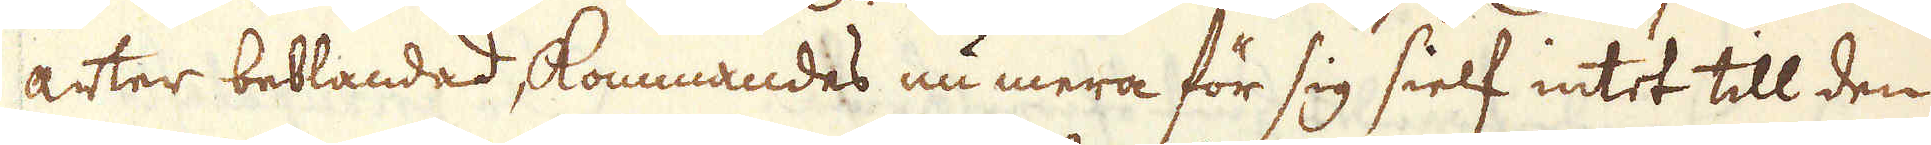arter beblandad, kommandes nu mera för sig sielf intet till den
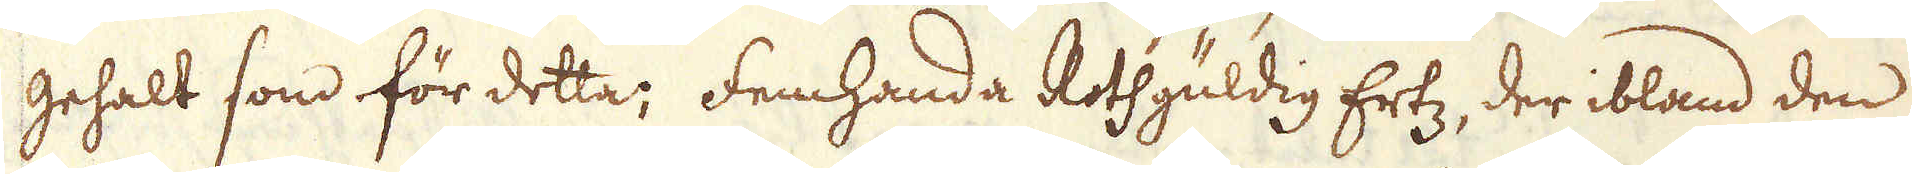gehalt som för detta; femhanda Rothgüldig Ertz, der ibland den
